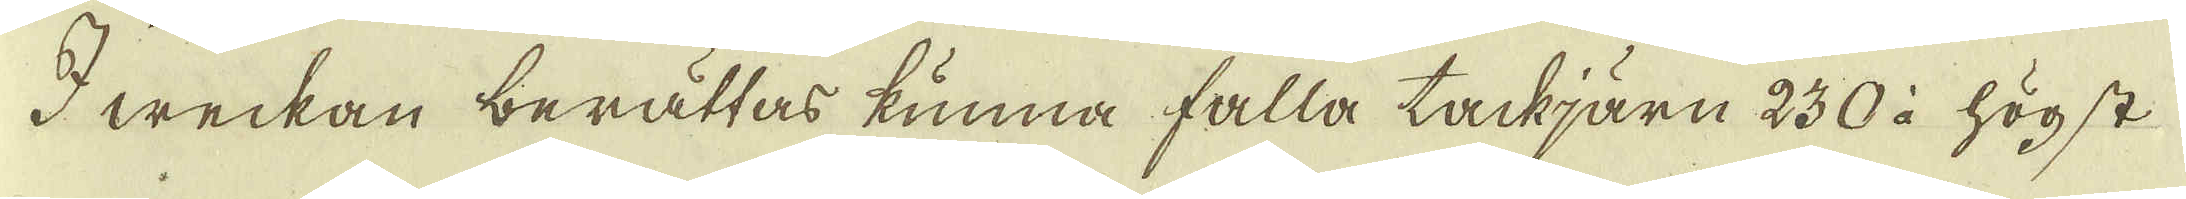I weckan berättas kunna falla tackjärn 230 à högst
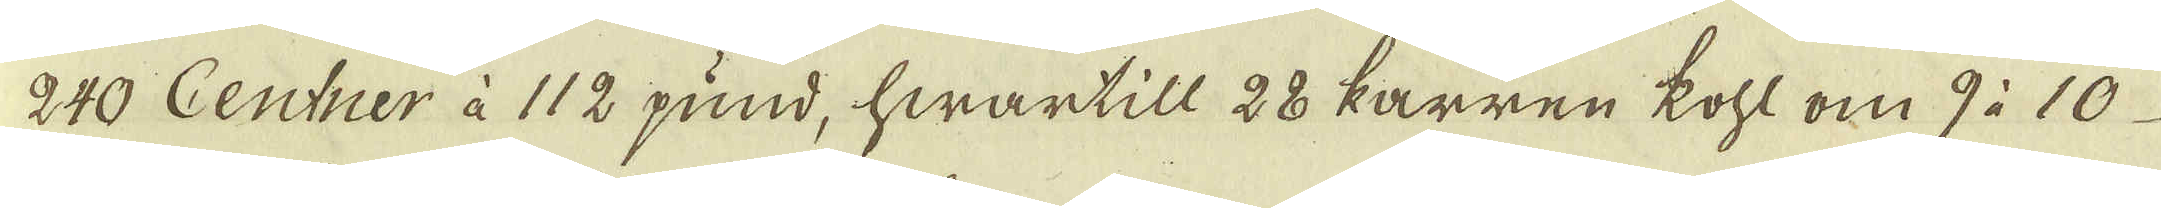240 Centner à 112 pund, hwartill 28 karren kohl om 9 à 10
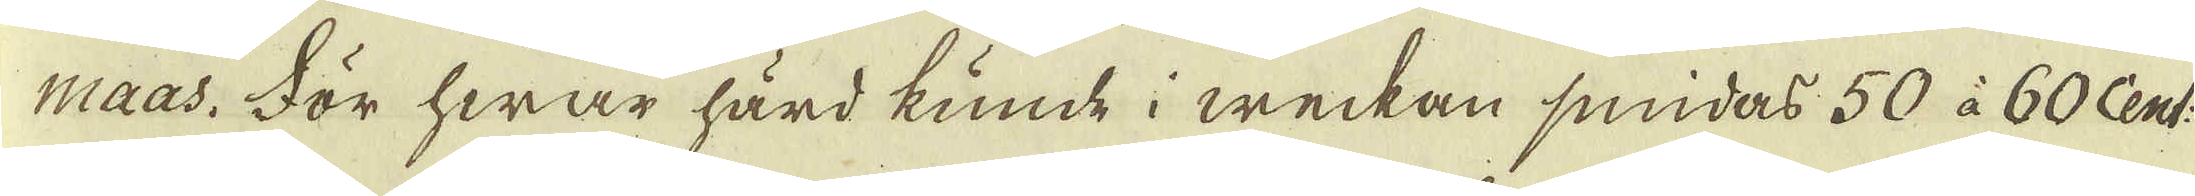maas. För hwar härd kunde i weckan smidas 50 à 60 Cent:
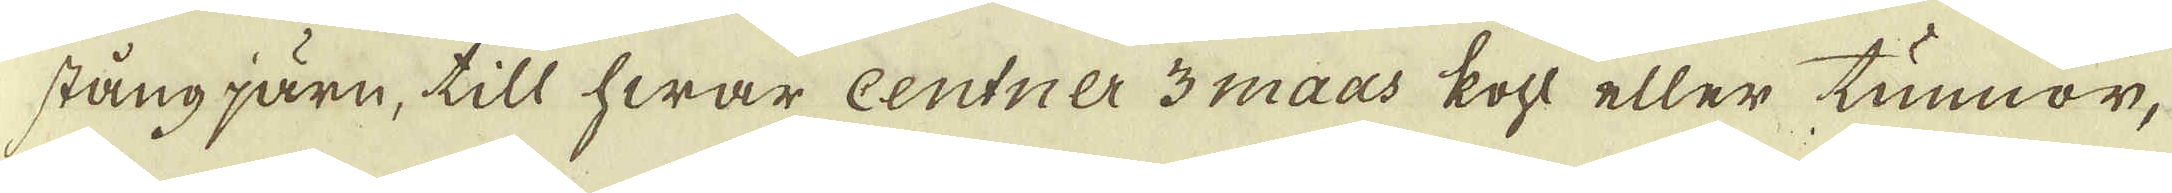stång järn, till hwar centner 3 maas kohl eller tunnor,
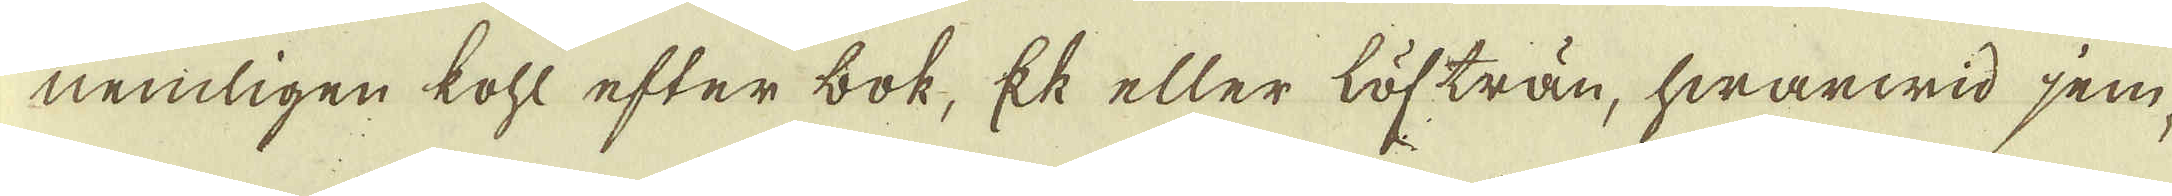nemligen kohl efter bok, Ek eller löfträn, hwarwid jem-
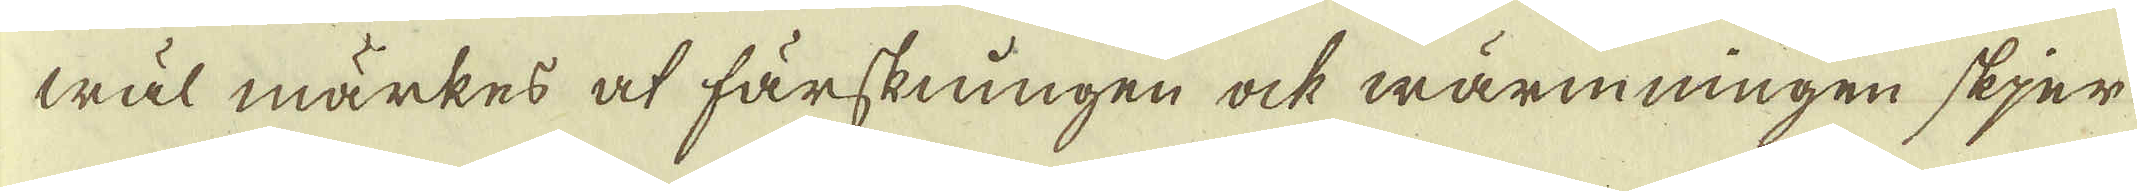wäl märkes at färskningen ock wärmningen skjer
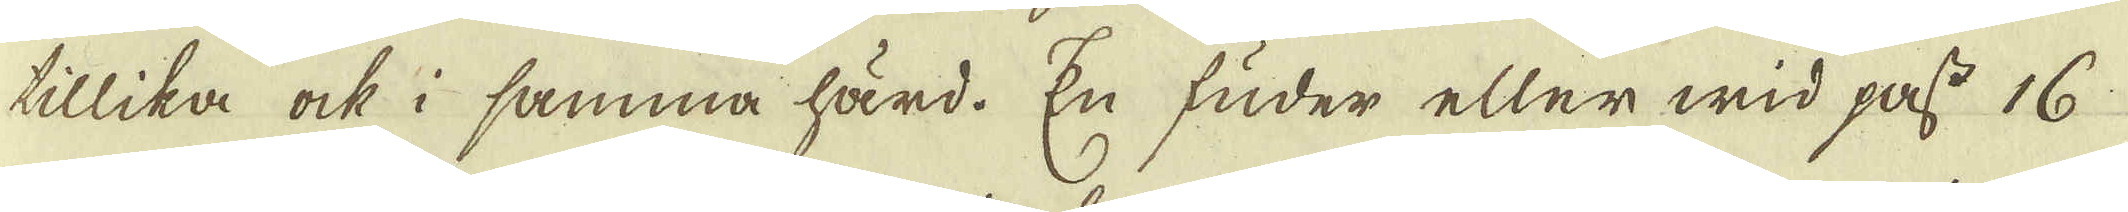tillika ock i samma härd. En fuder eller wid pass 16
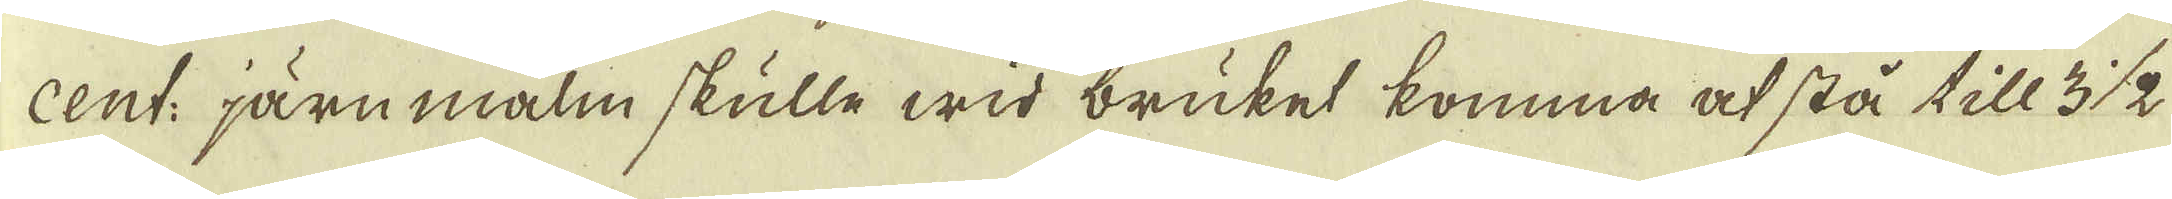cent: järn malm skulle wid bruket komma at stå till 3 1/2
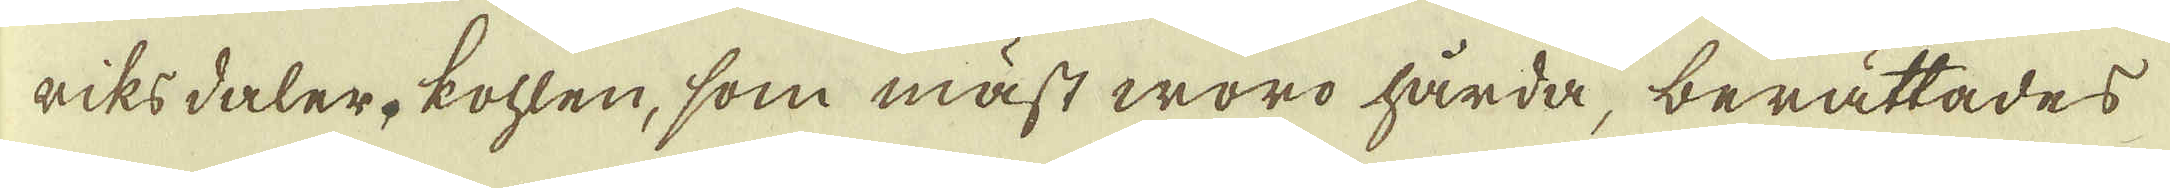riksdaler, kohlen, som mäst woro hårda, berättades
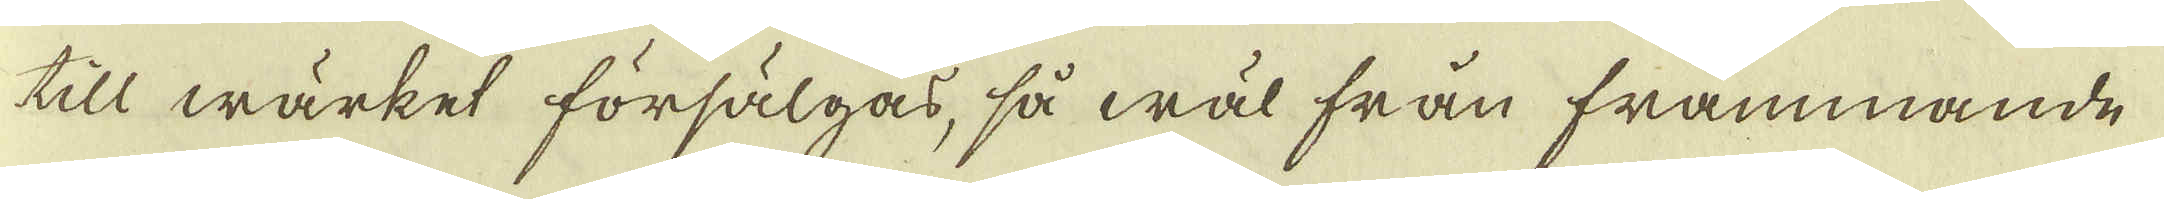till wärket försälgas, så wäl från frammande
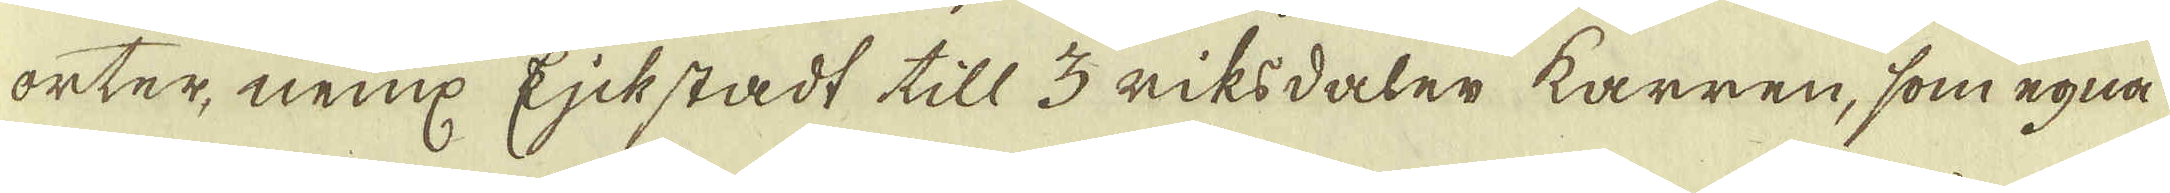orter, neml:. Ejckstadt till 3 riksdaler karren, som egna
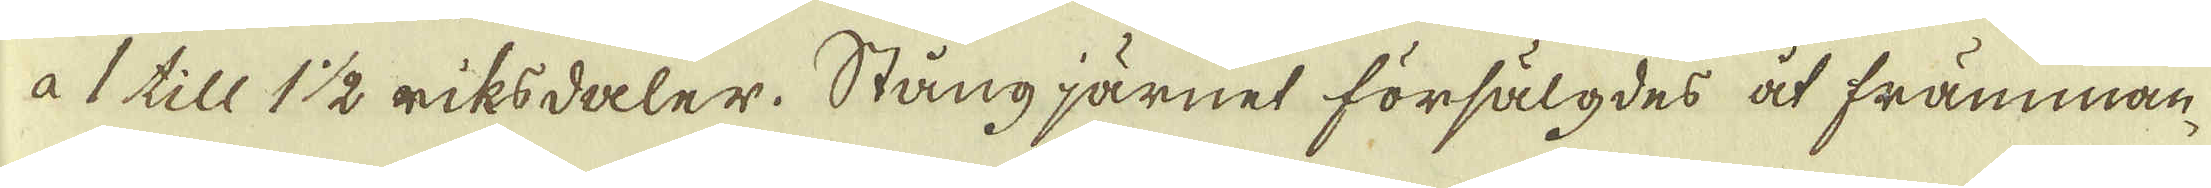à 1 till 1 1/2 riksdaler. Stångjärnet försälgdes åt främman-
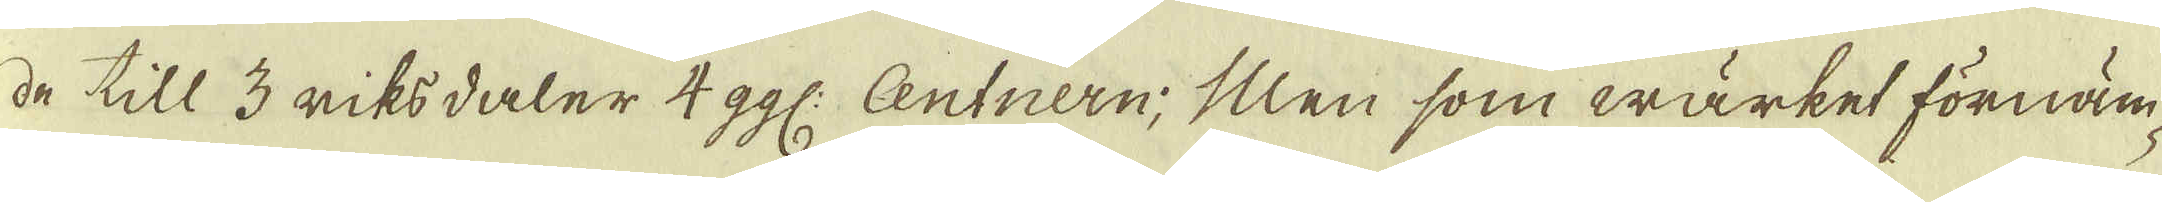de till 3 riksdaler 4 ggl: Centnern; Men som wärket förnäm-
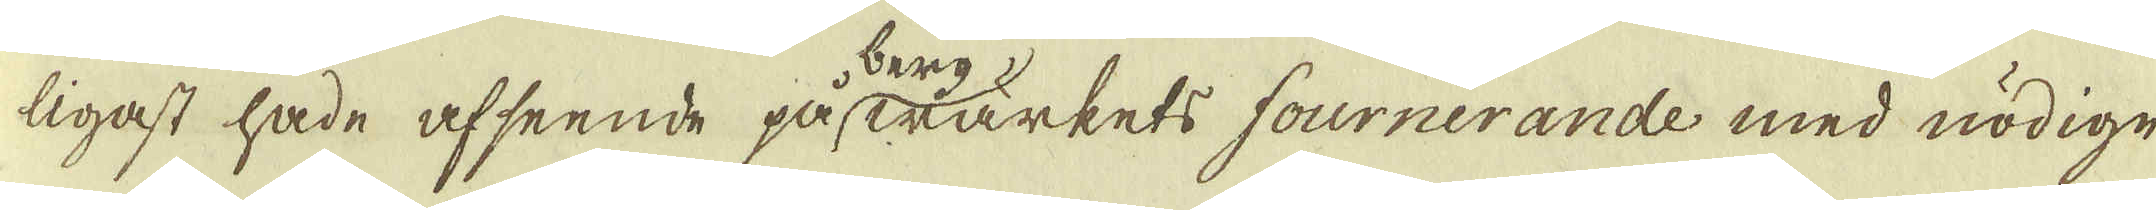ligast hade afseende påskrärkets fournerande med nödige
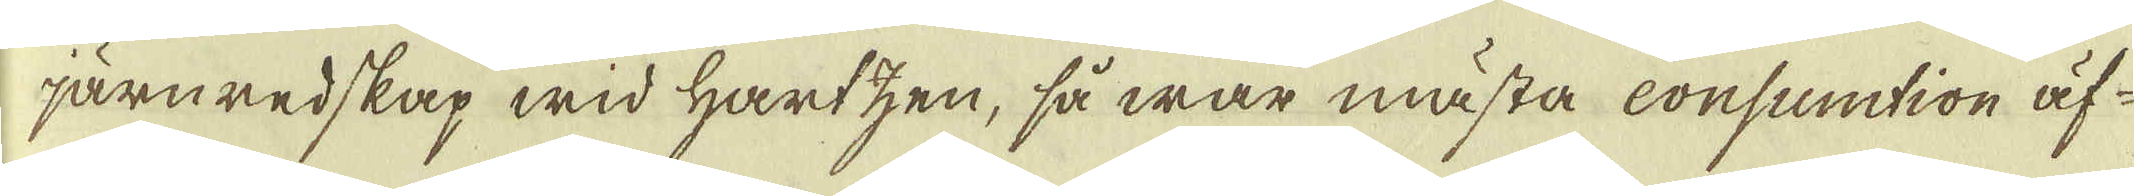järnredskap wid Hartzen, så war måsta consumtion äf-
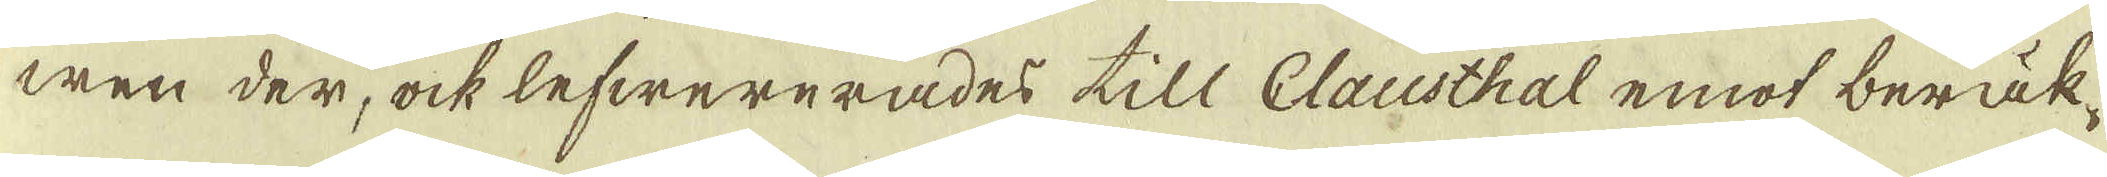wen der, ock lefwererades till Clausthal emot beräk-
